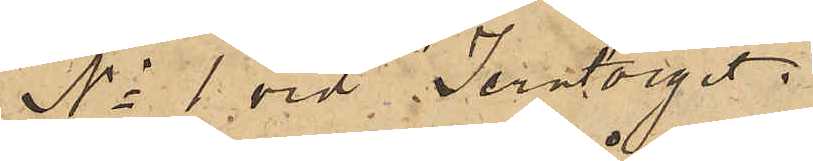No 1 vid Jerntorget;
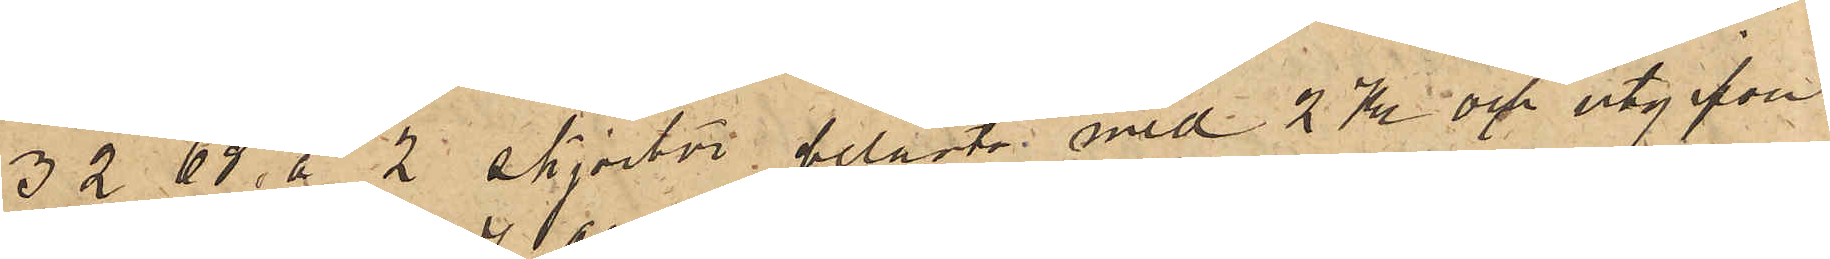3268  å 2 skjortor, belånta med 2 Kr och utgifven
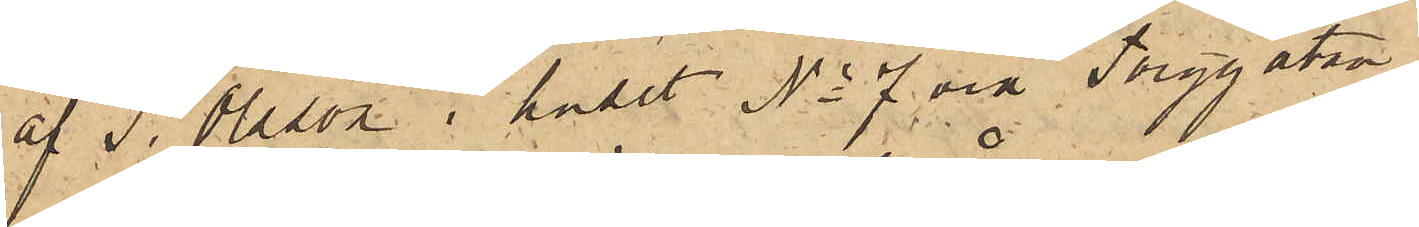af  J. Olsson i huset No 7 vid Torggatan
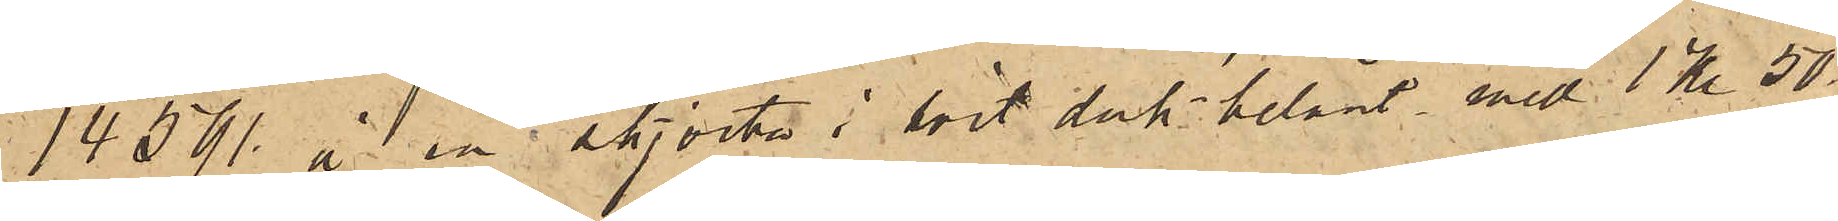14591 å en skjorta i hvit duk belånt med 1 Kr 50
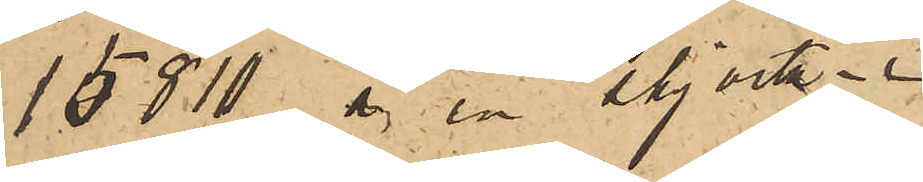15810 å en skjorta
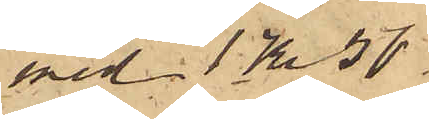med 1 Kr 50
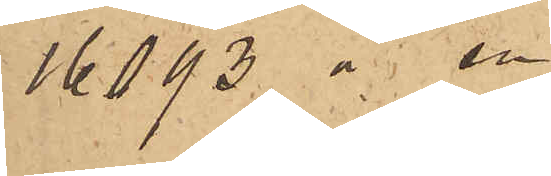16093 å en d:o
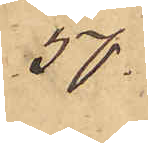50
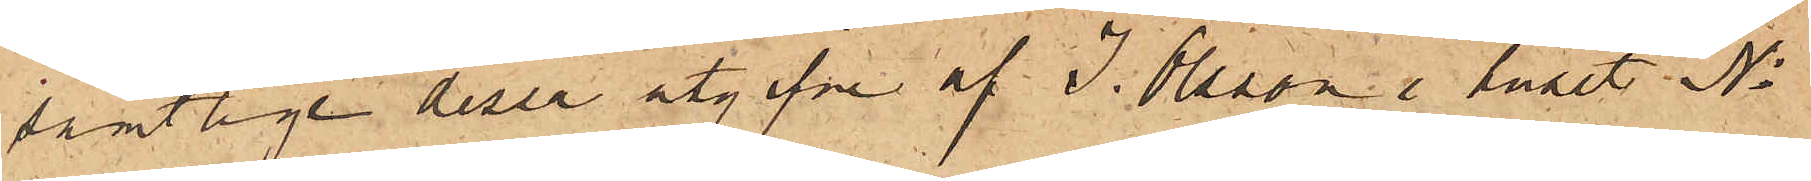samtlige desse utgifne af J. Olsson i huset No
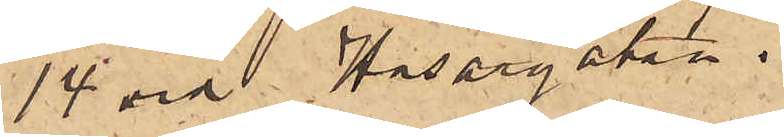14 vid Husargatan.
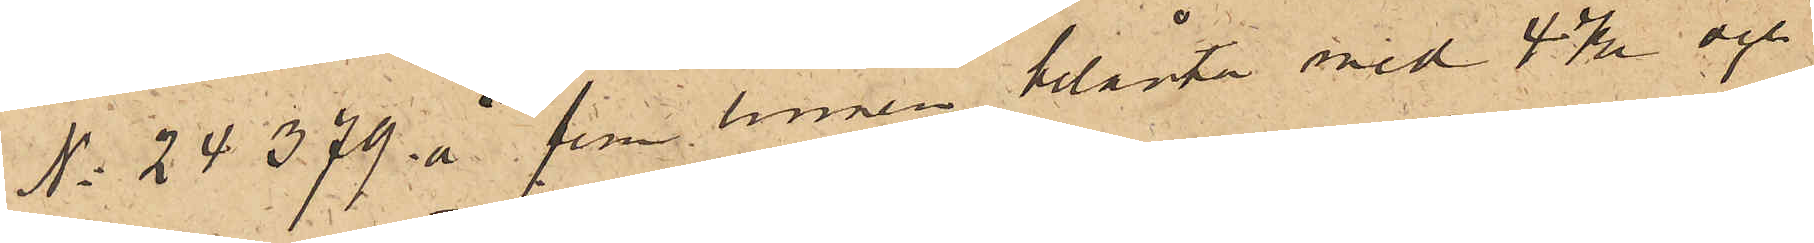No 24379 å fem linnen belånte med 4 Kr och
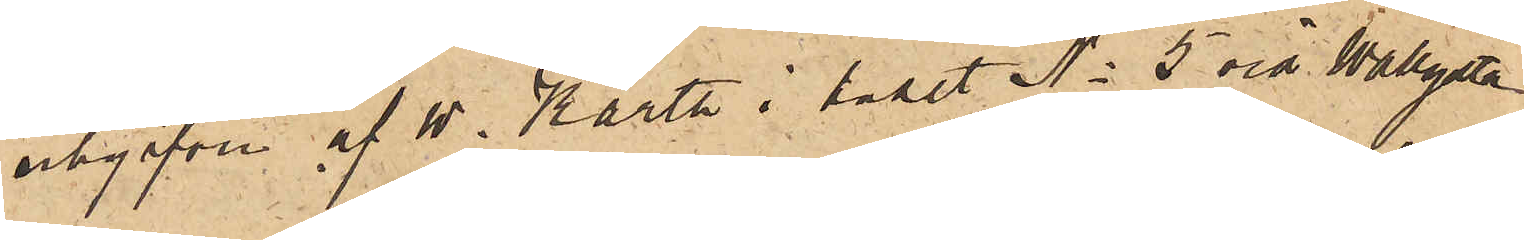utgifven af W. Karth i huset No 5 vid Wallgatan
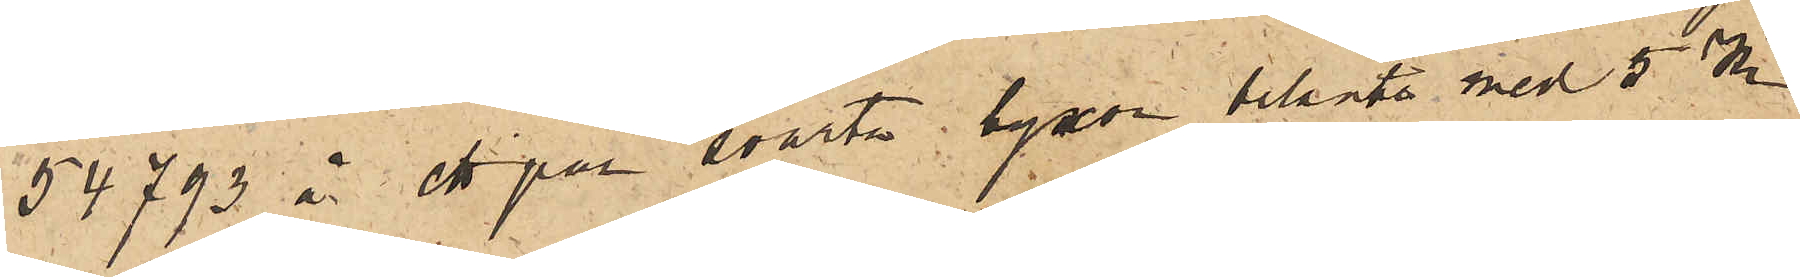54793 å ett par svarta byxor belånte med 5 Kr
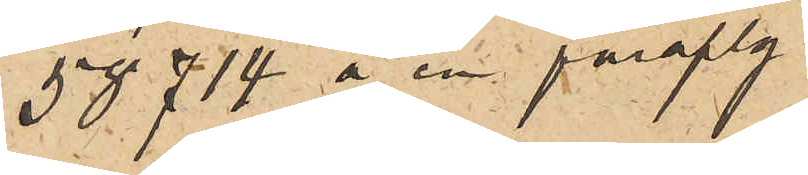58714 å en paraply
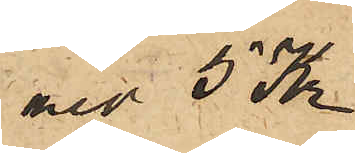ned 5 Kr
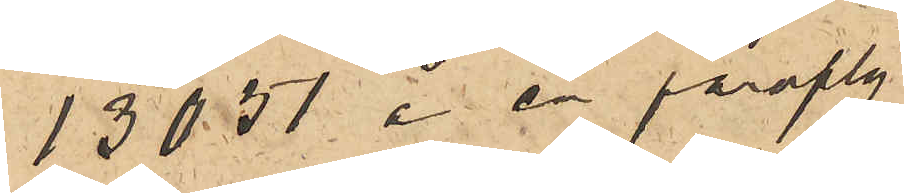13051 å en paraply
